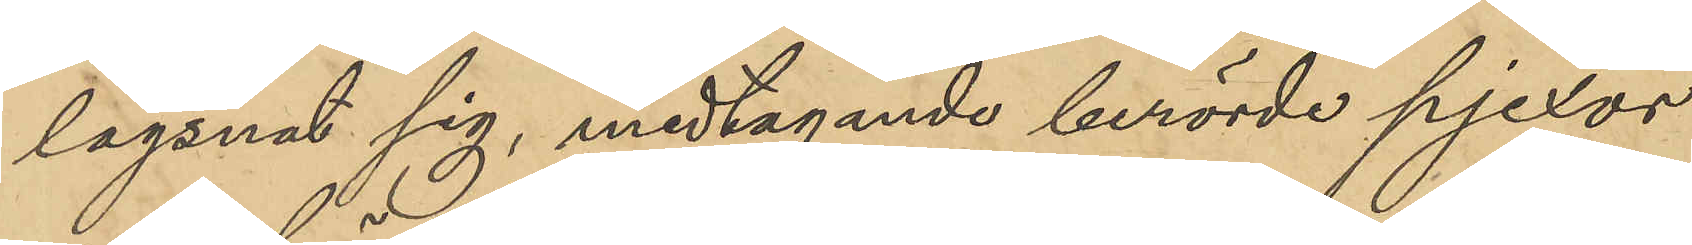lägsnat sig, medtagande berörde pjexor
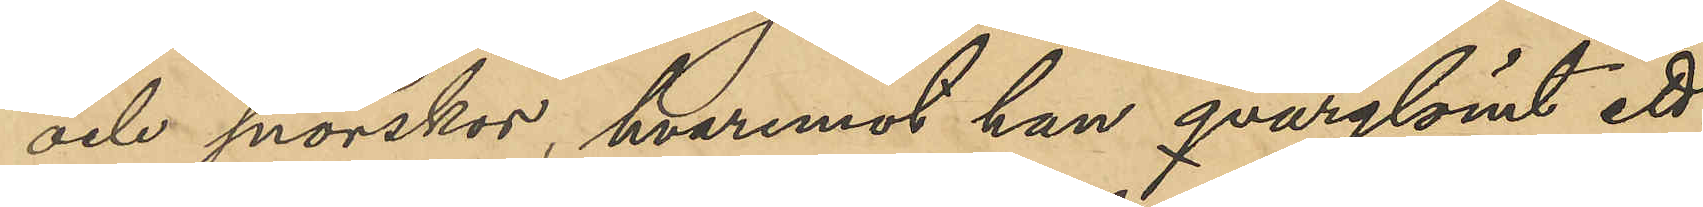och snörskor, hvarmed han qvarglömt ett
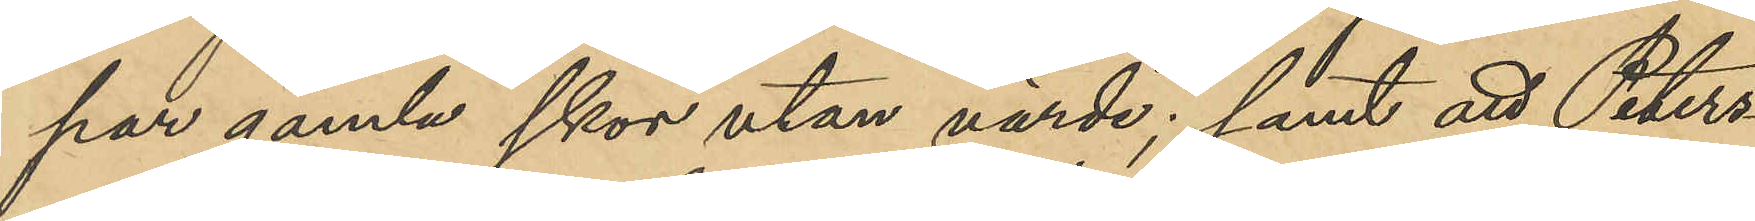par gamla skor utan värde; samt att Peters¬
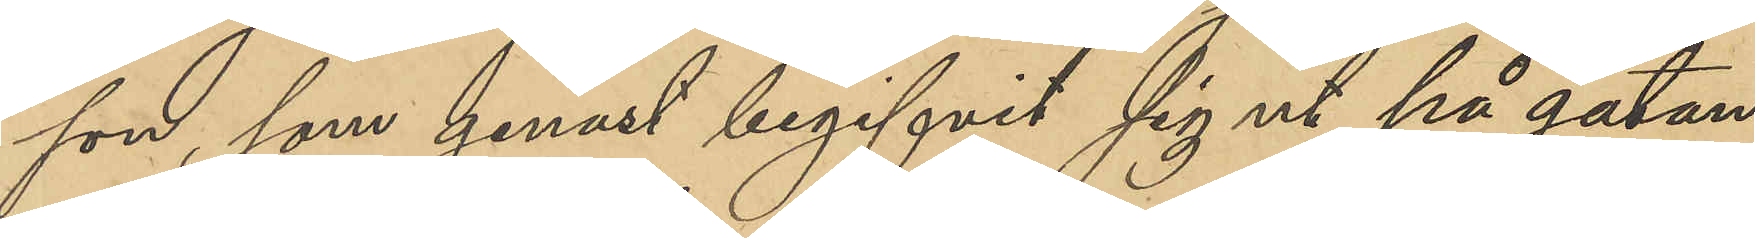son, som genast begifvit sig ut på gatan
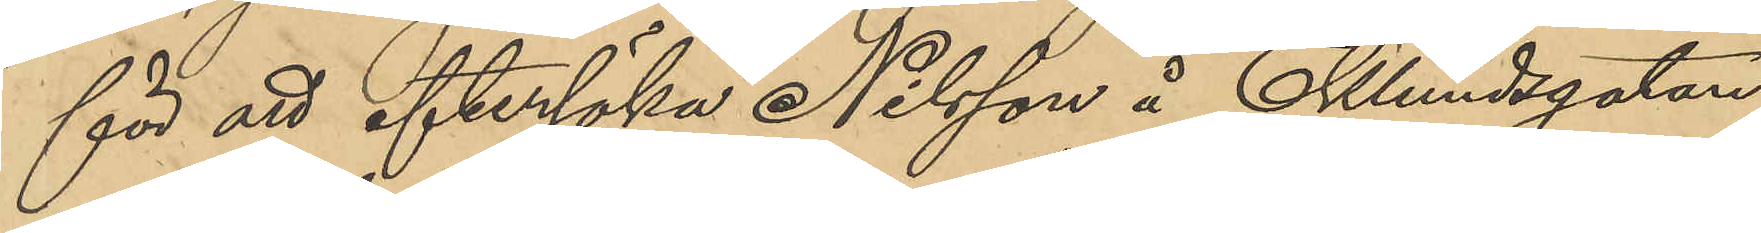för att efterfölja Nilsson å Eklundsgatan
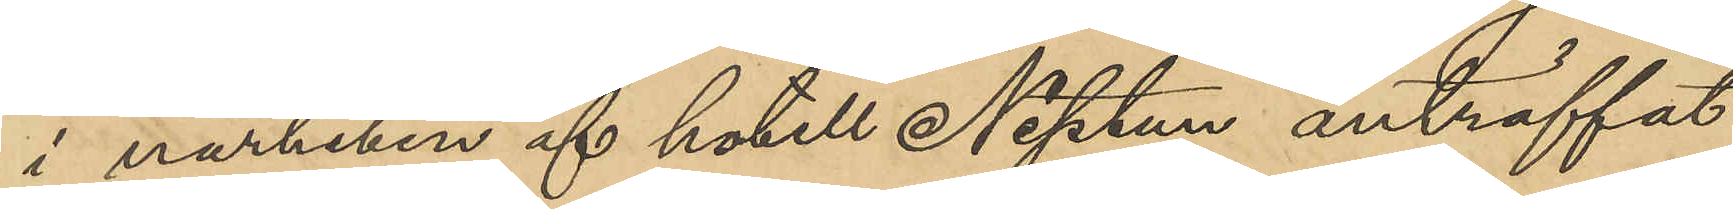i närheten av hotell Neptun anträffat
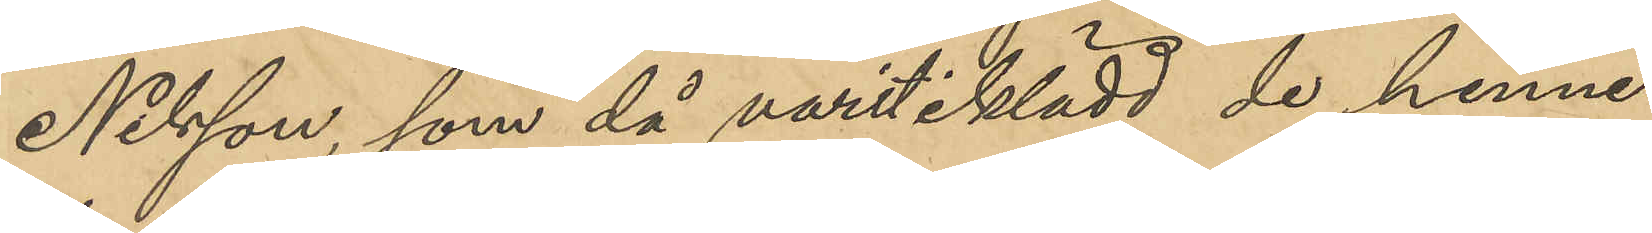Nilsson, som då varit iklädd de henne
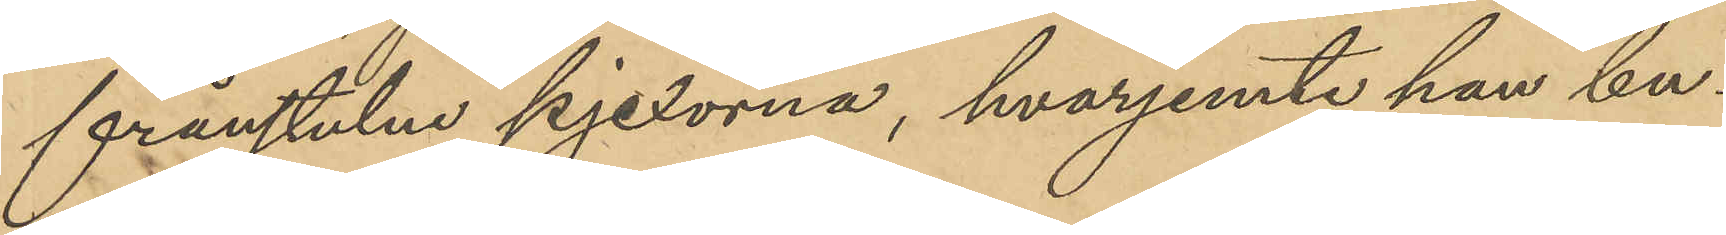frånstulne pjexorna, hvarjemte han bu¬
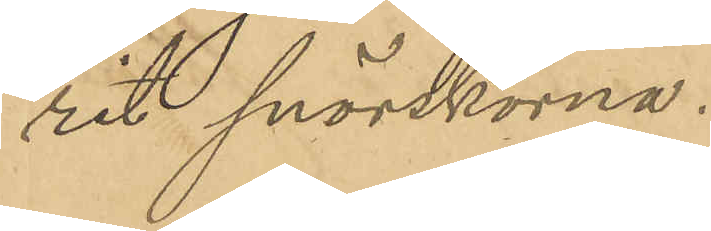rit snörskorna.
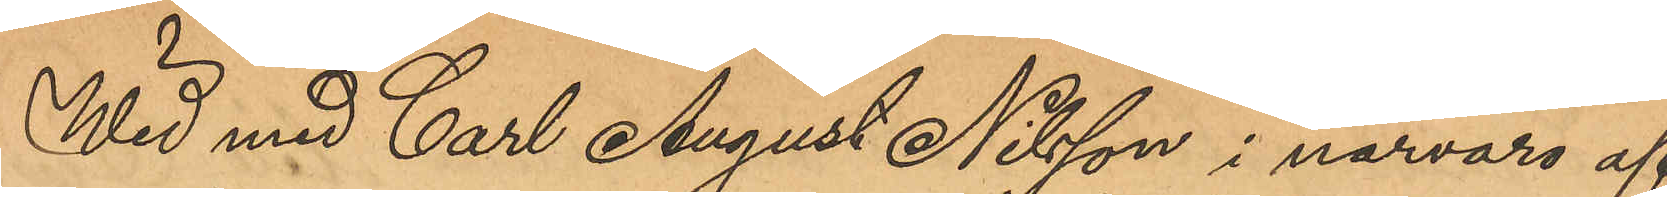Wid med Carl August Nilsson i närvaro af
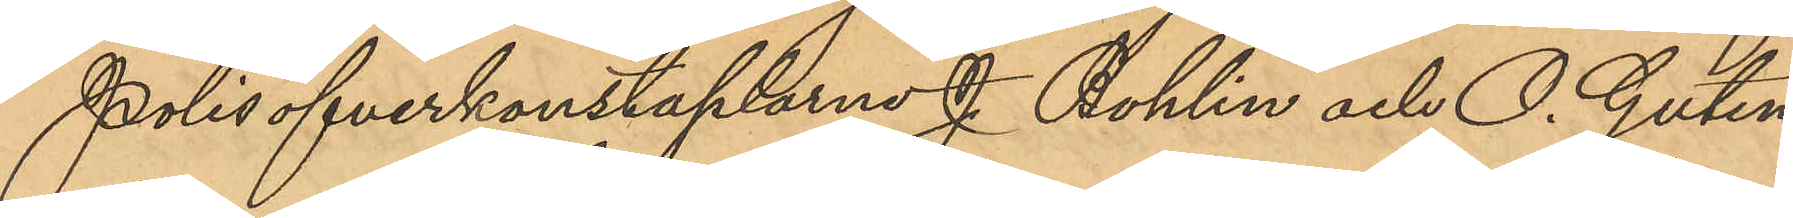Polisöfverkonstaplarne J. Bohlin och O. Guten¬
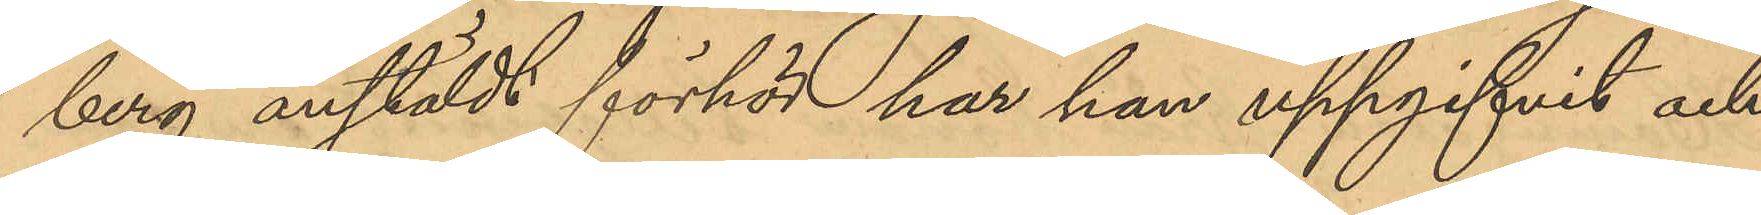berg anstäldt förhör han han uppgifvit och
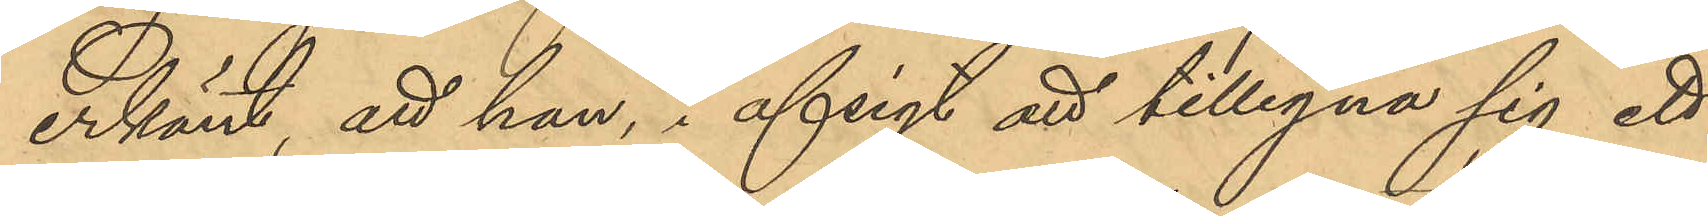erkänt, att han i avsigt att tillegna sig ett
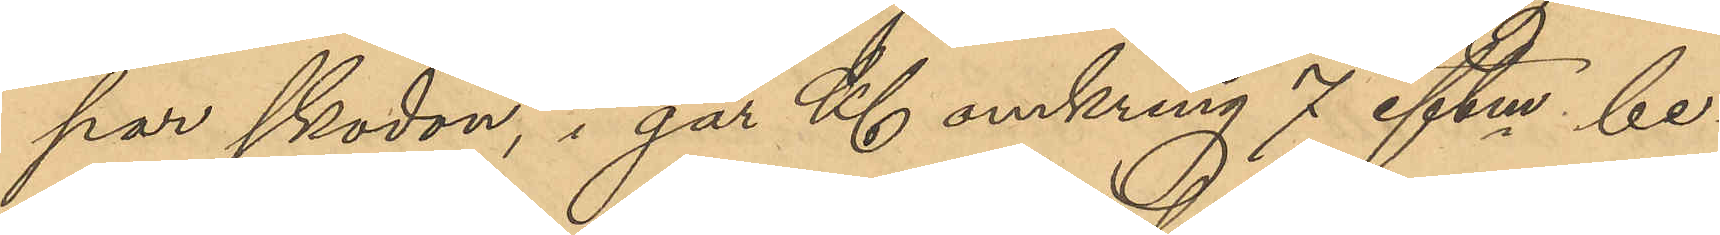par skodon, i går Kl omkring 7 eftm be¬
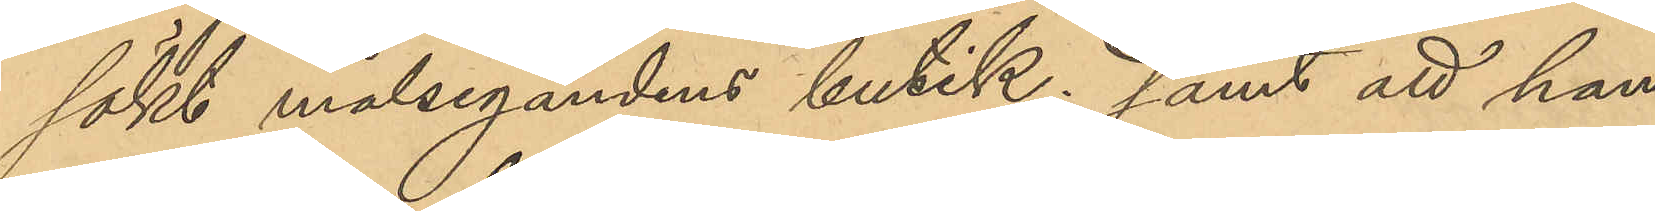sökt målegandens butik; samt att han
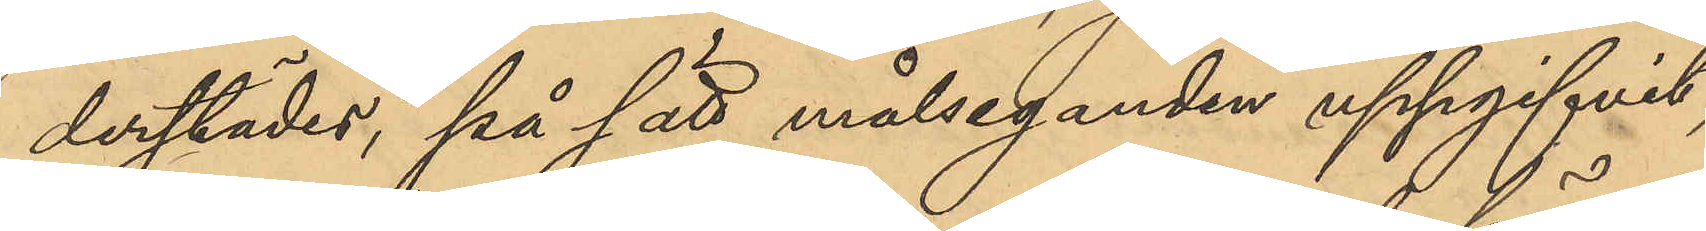derstädes, på sätt målseganden uppgifvit,
